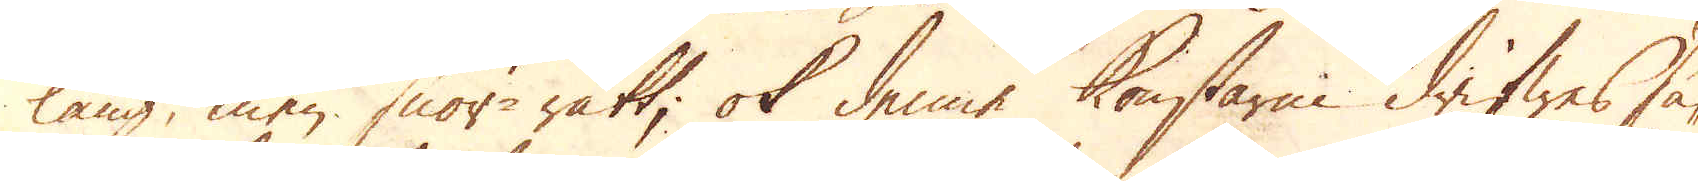lång, men snör-rätt, ok denne konstarm drifwes så-
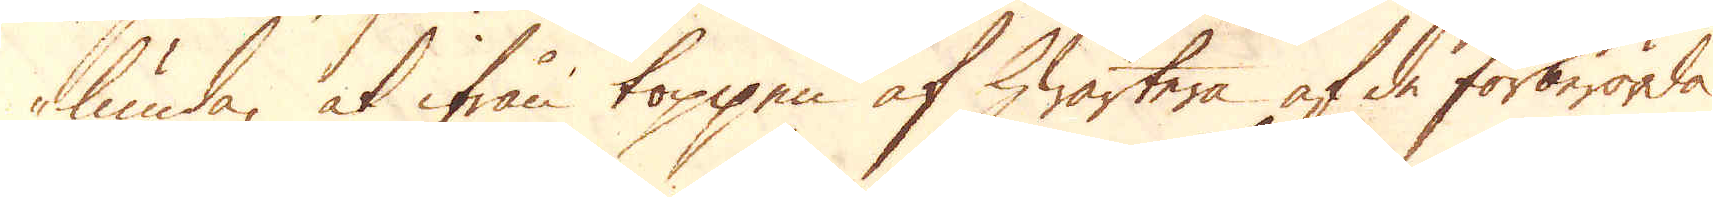lunda, at ifrån toppen af hwartera af de förberörda
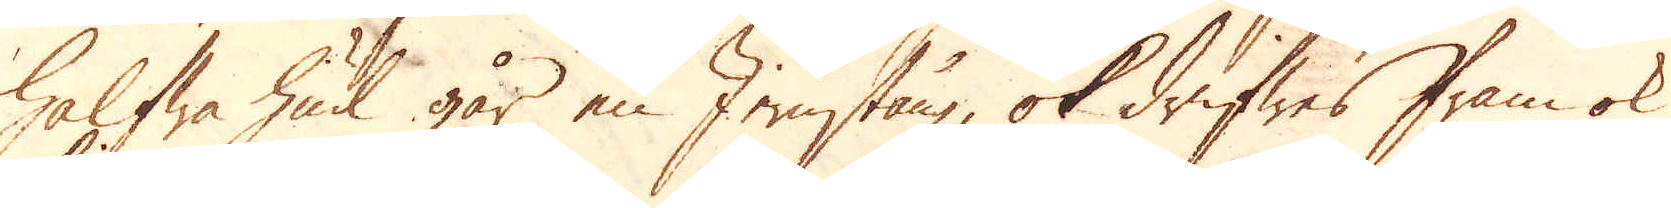halfwa hiul går en Jernstång, ok drifwes fram ok
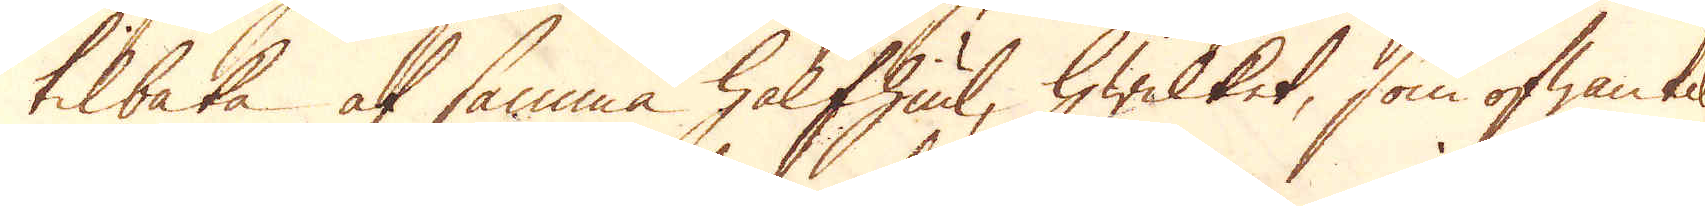tilbaka af samma halfhiul, hwilket, som ofwantil
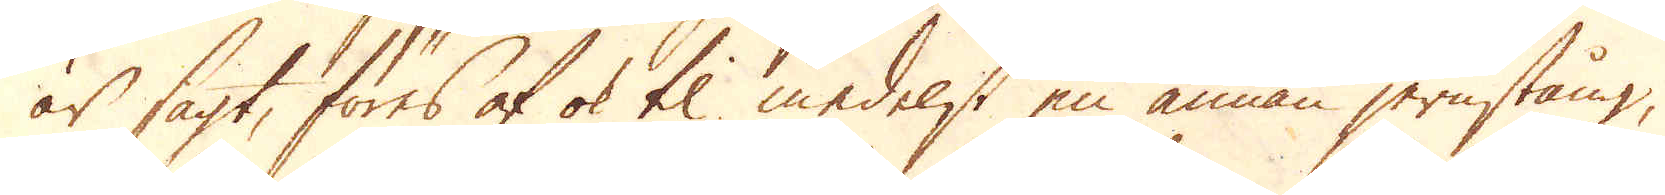är sagt, föres af ok til medelst en annan jernstång,
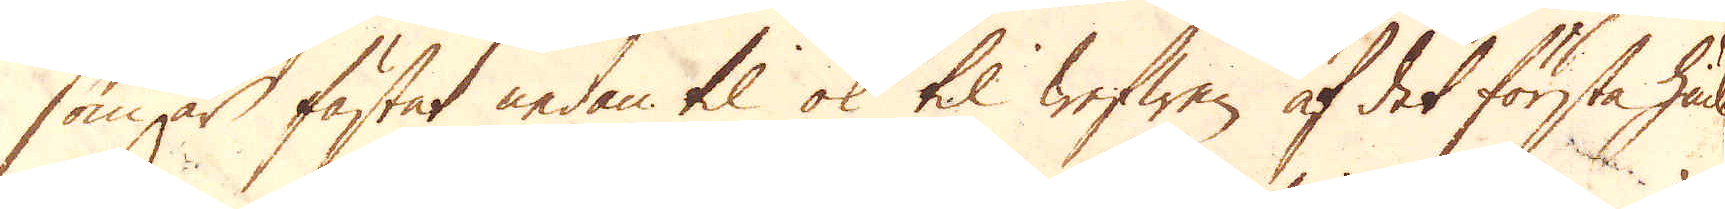som är fästat nedan til ok til wefwen af det första häd
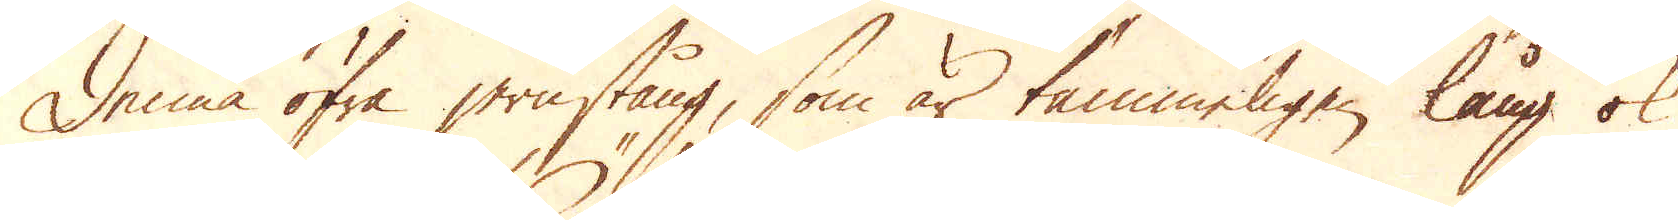Denna öfre jernstång, som är tämmeligen lång ok
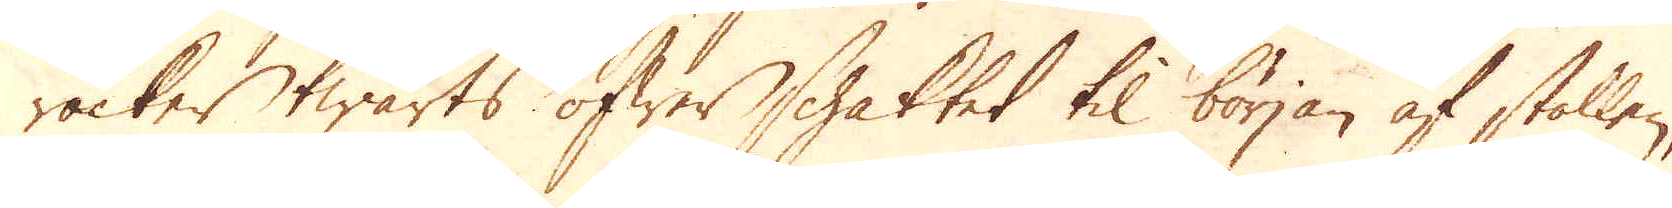räcker twärts öfwer schaktet til början af stollen,
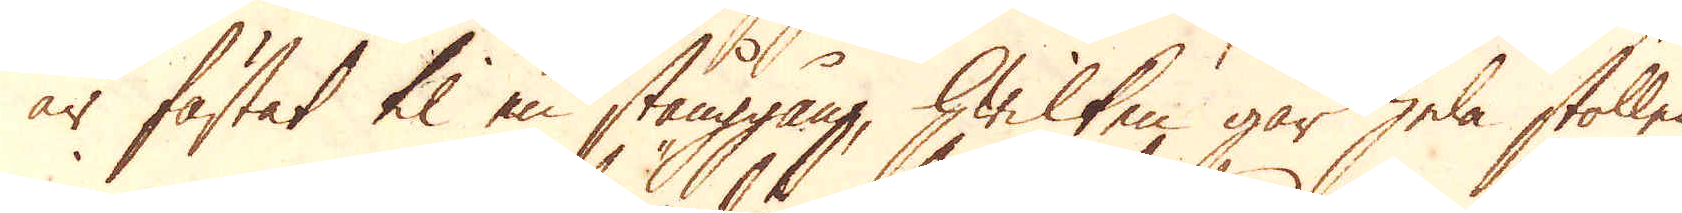är fästat til en stånggång, hwilken går hela stollen
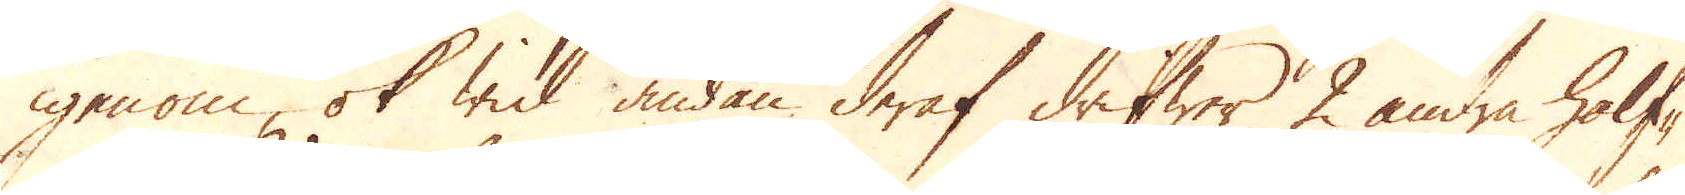igenom, ok wid ändan deraf drifwer 2 andra half-
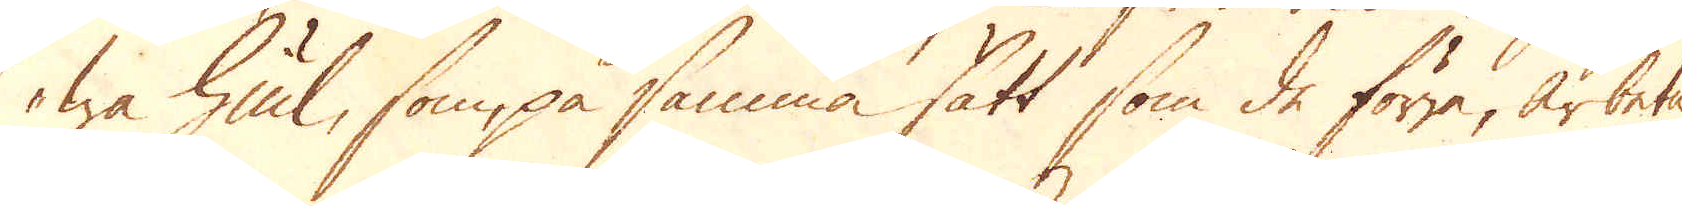wa hiul, som på samma sätt som de förra, arbeta
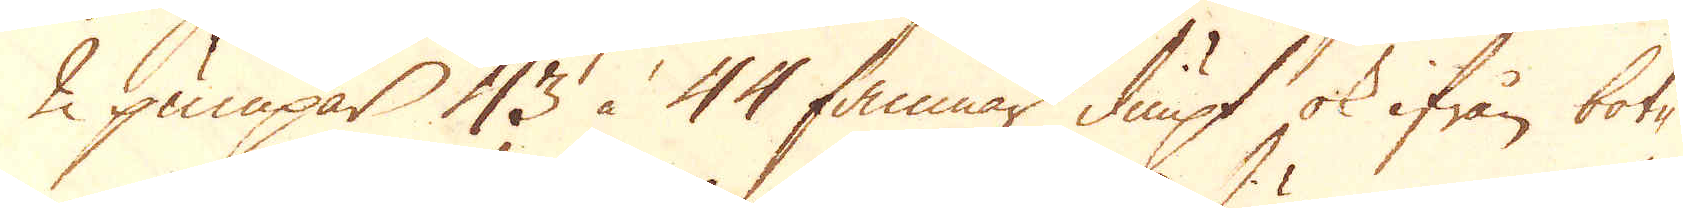2 pumpar 43 à 44 famnar diupt ok ifrån bot-
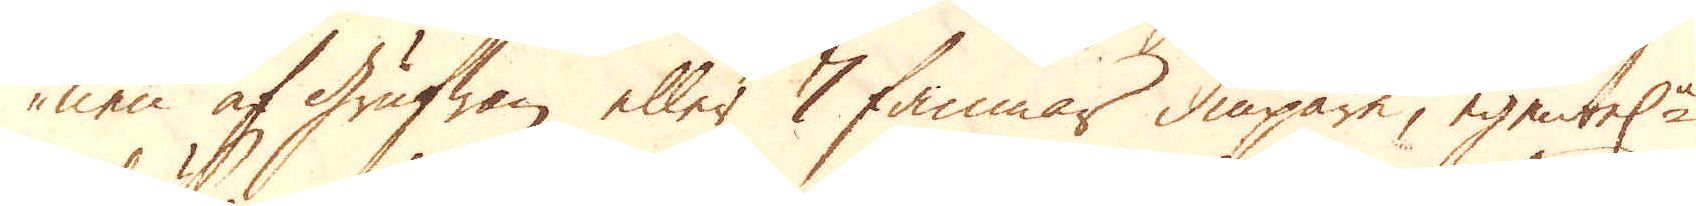nen af grufwan eller 7 famnar diupare, egentel:n
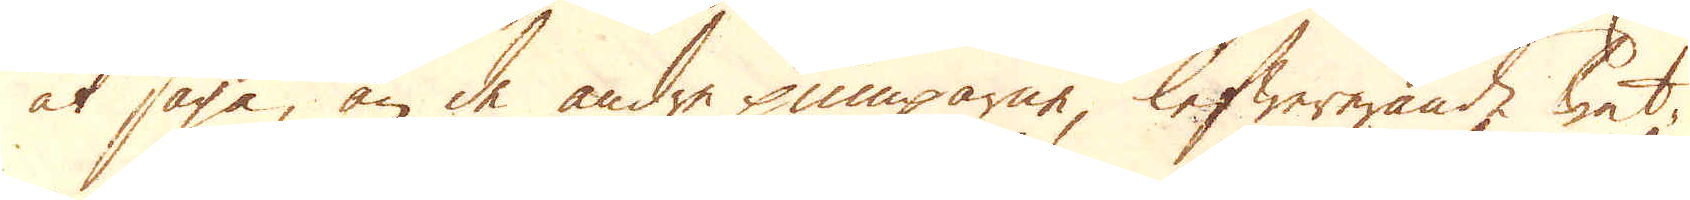at säga, än de andre pumparne, lefwererande wat-
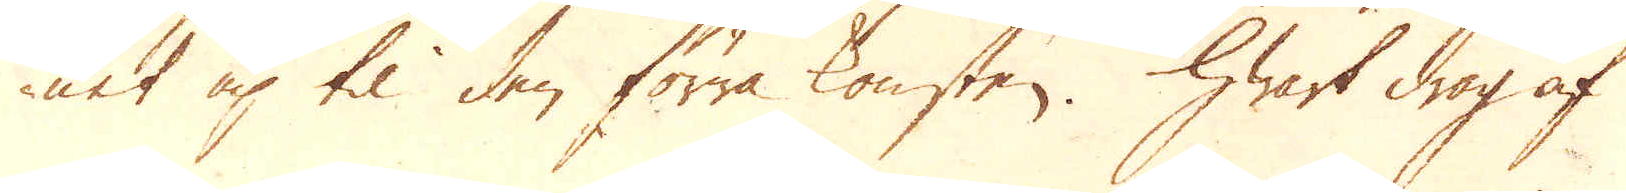net up til den förra konsten. Hwart drag af
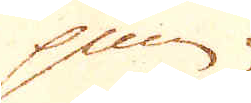pum-
